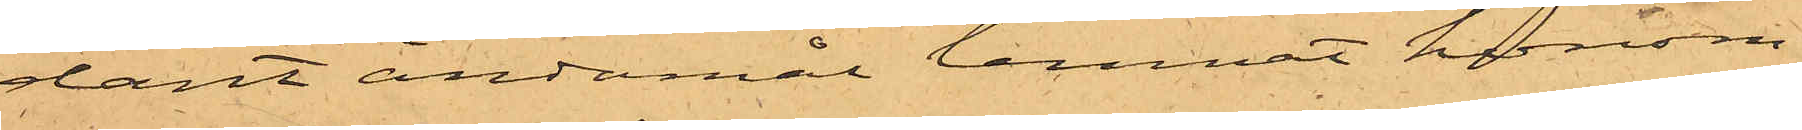dant ändamål lemnat honom;
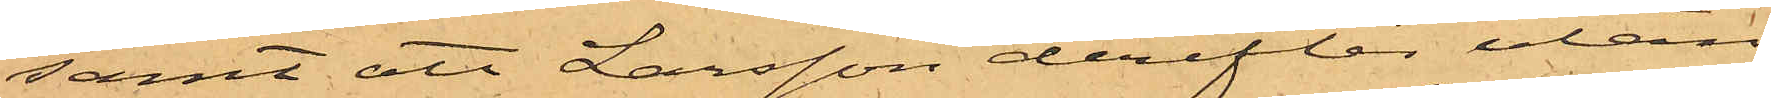samt att Larsson derefter utan
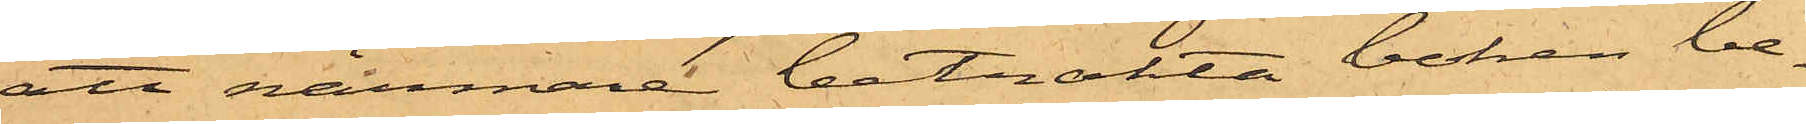att närmare betrakta boken be¬
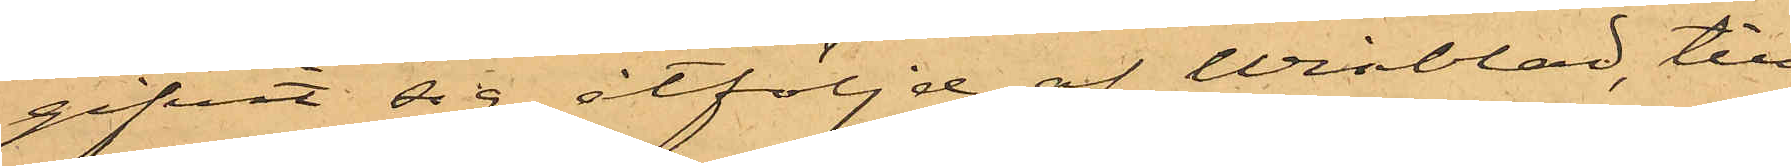gifvit sig, åtföljd af Winblad, till
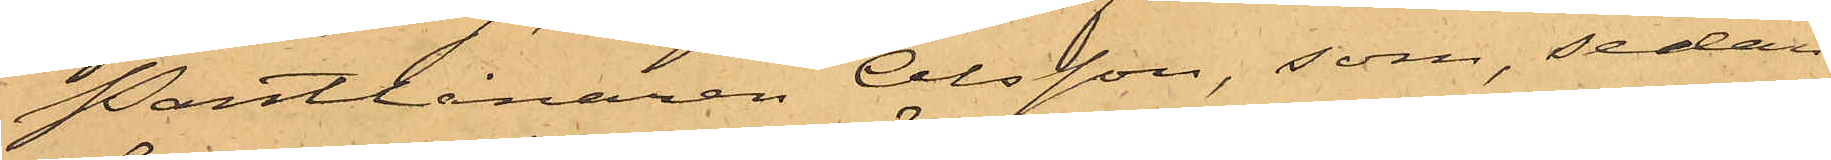Pantlånaren Olsson, som sedan
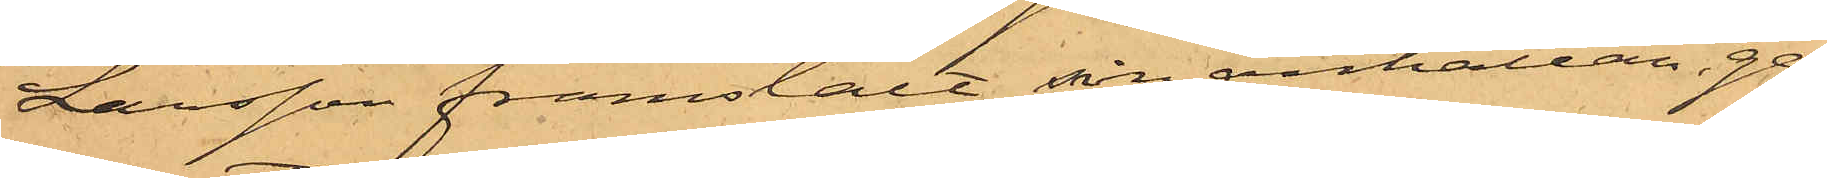Larsson framstält sin anhållan, ge¬
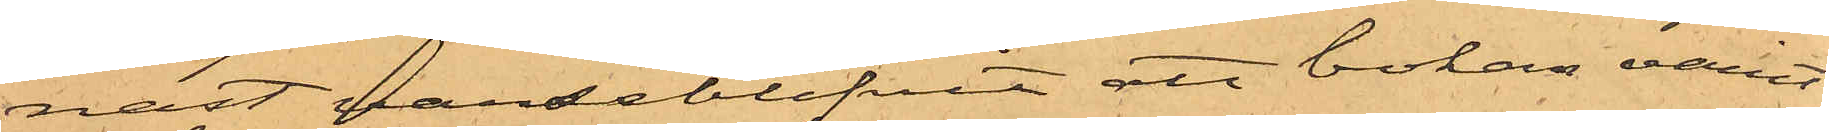nast varseblifvit att boken varit
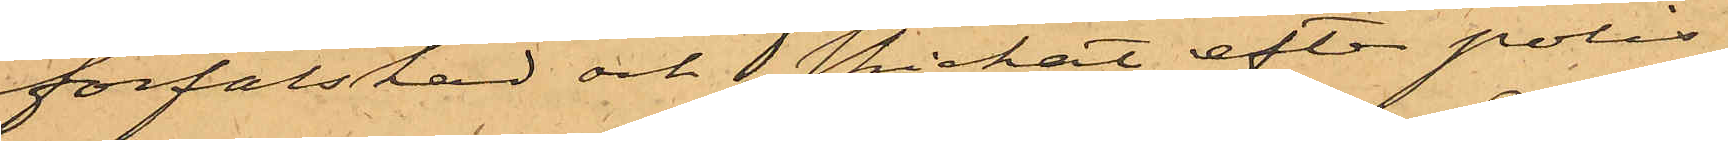förfalskad och skickat efter polis.
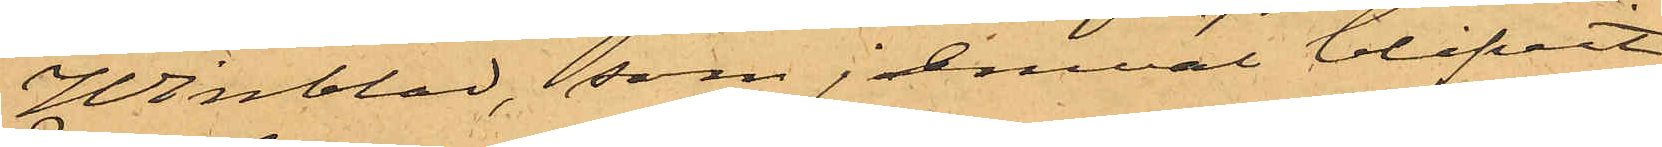Winblad, som jemväl blifvit
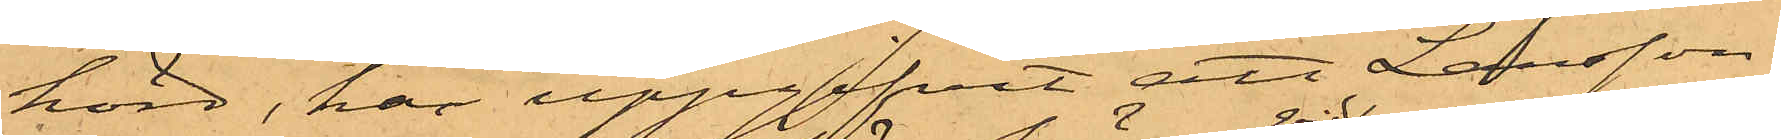hörd, har uppgifvit att Larsson,
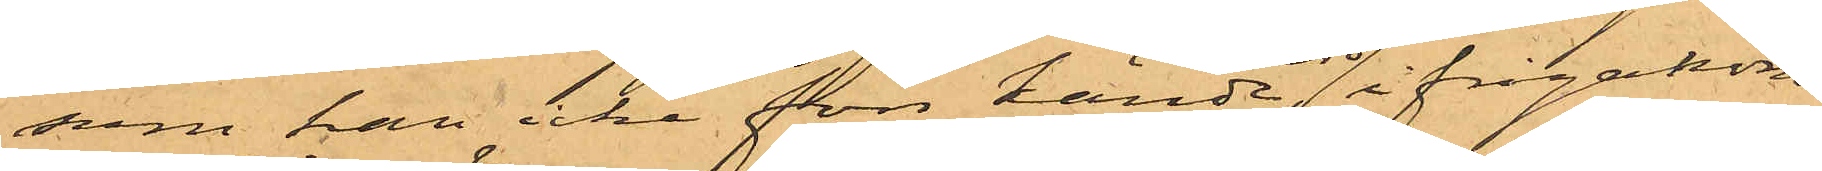som han icke förr kände, vid ifrågakom¬
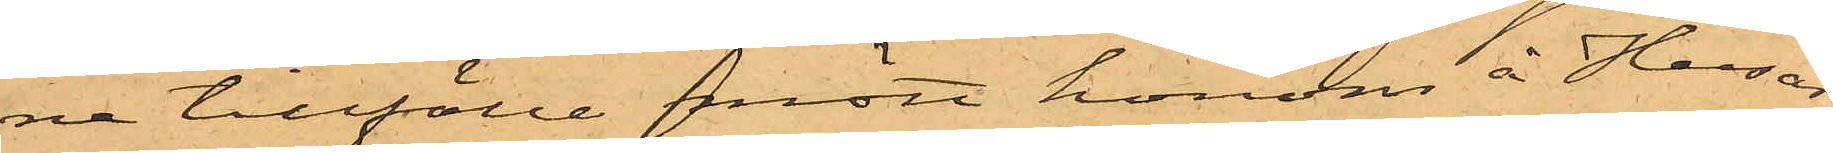ne tillfälle mött honom å Husar¬
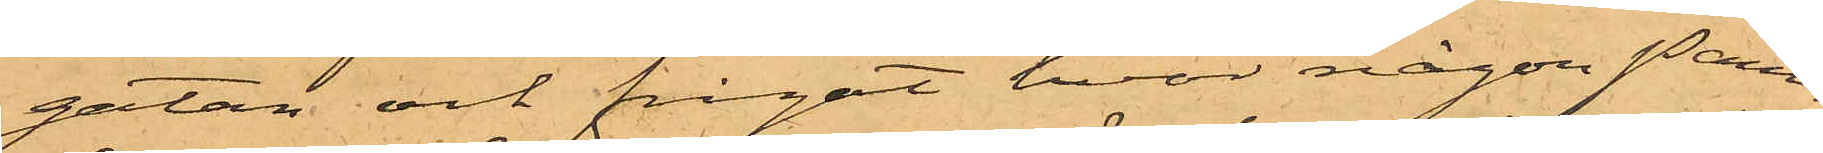gatan och frågat hvar någon Pant¬
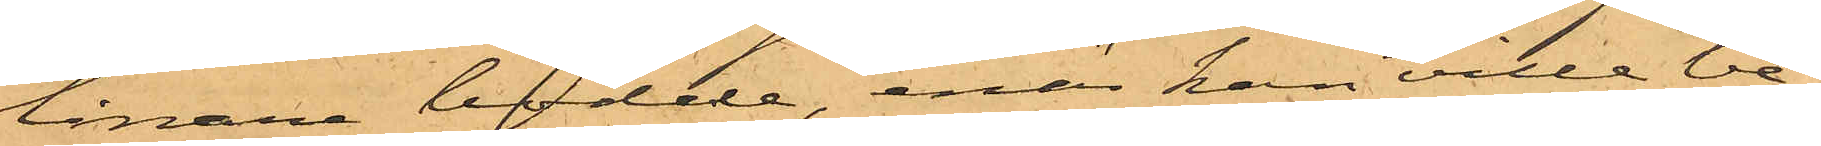lånare bodde, enär han ville be¬
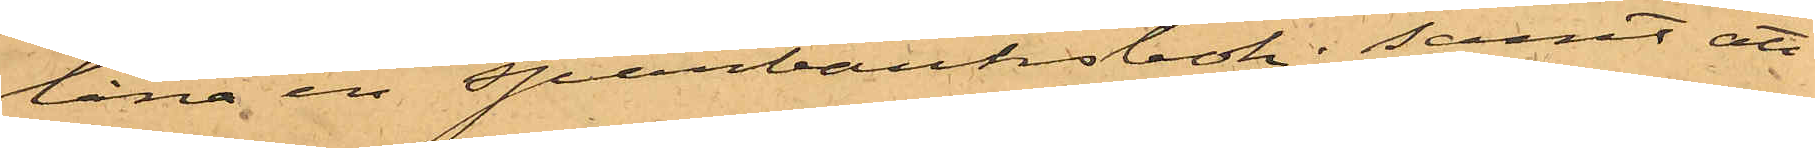låna en sparbanksbok; samt att
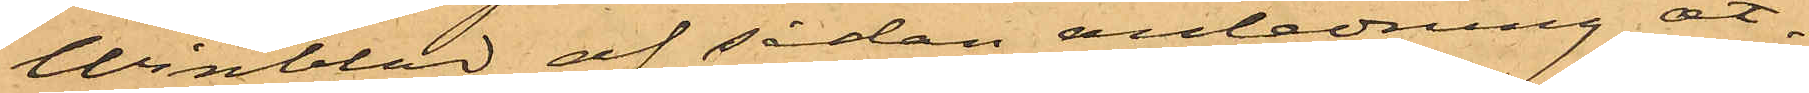Winblad af sådan anledning åt¬
